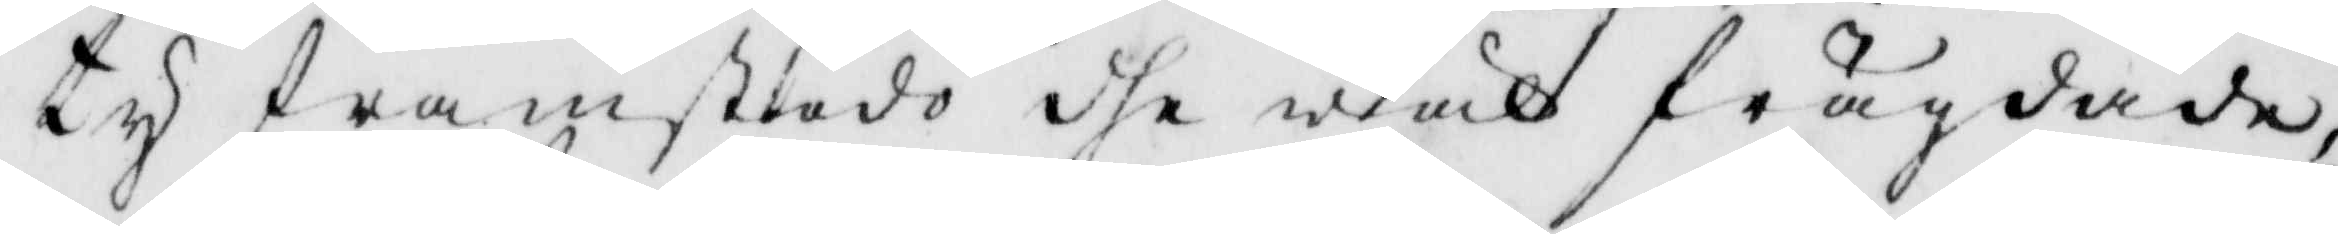ty framstodo dhe wäl frägdade,
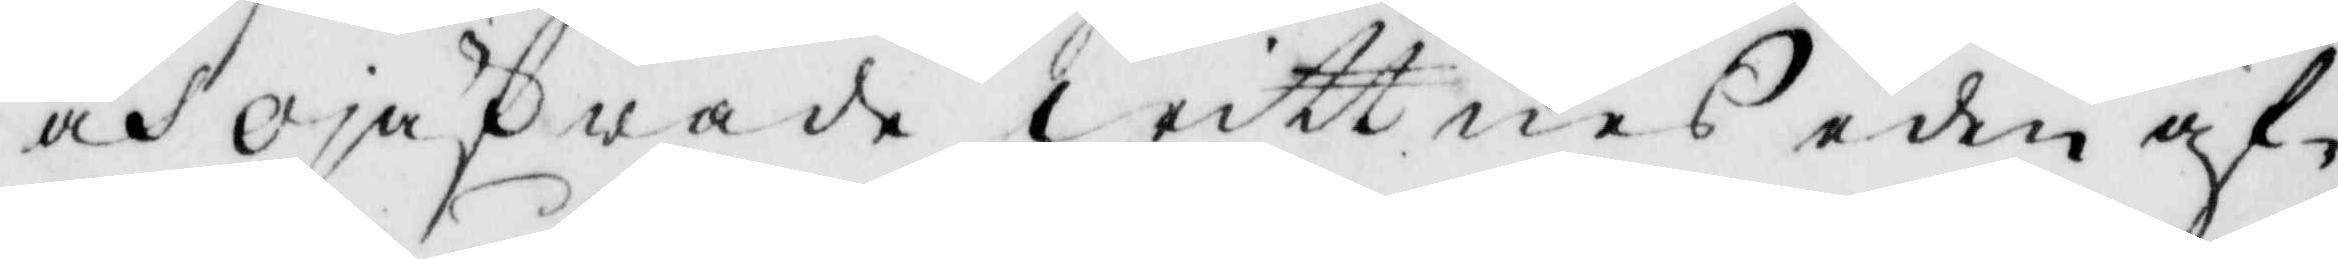och ojäfwade wittnea eden af¬
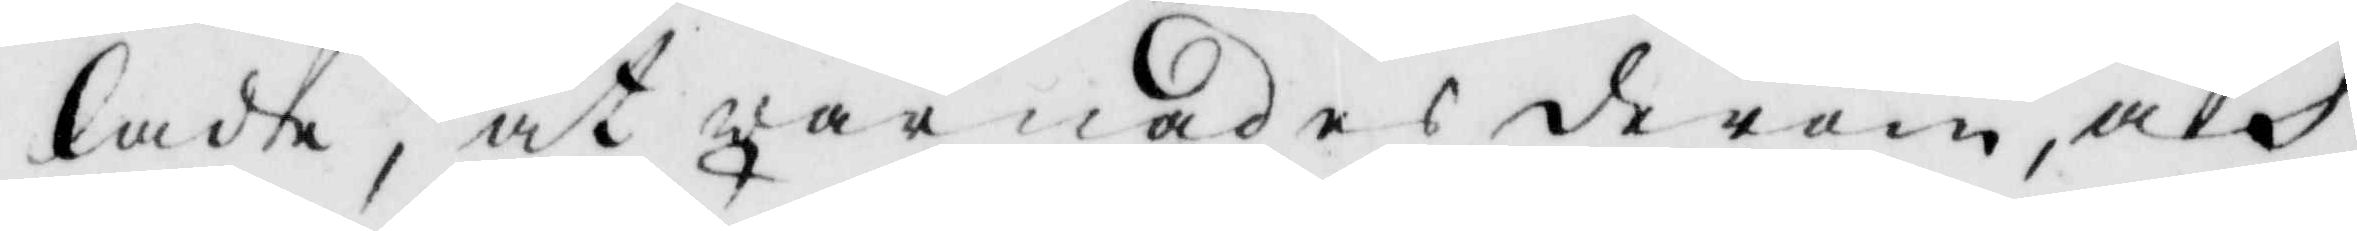lade, åt warnades derom, och
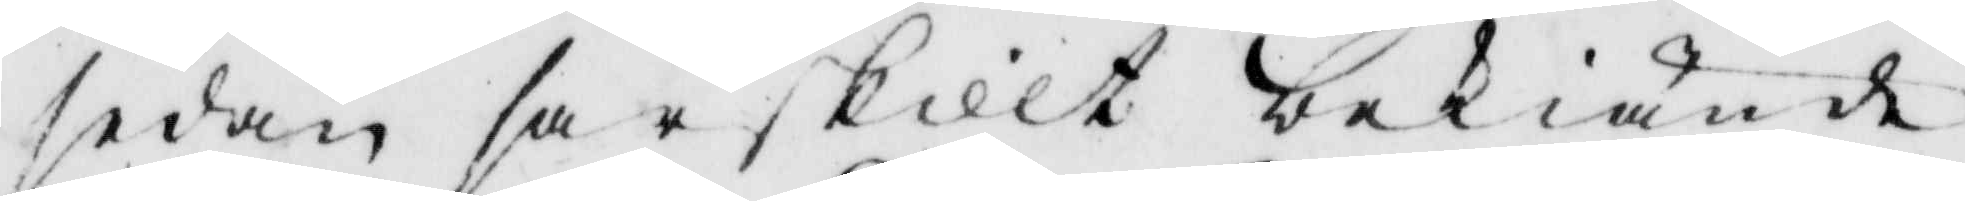sedan särskilt bekiände,
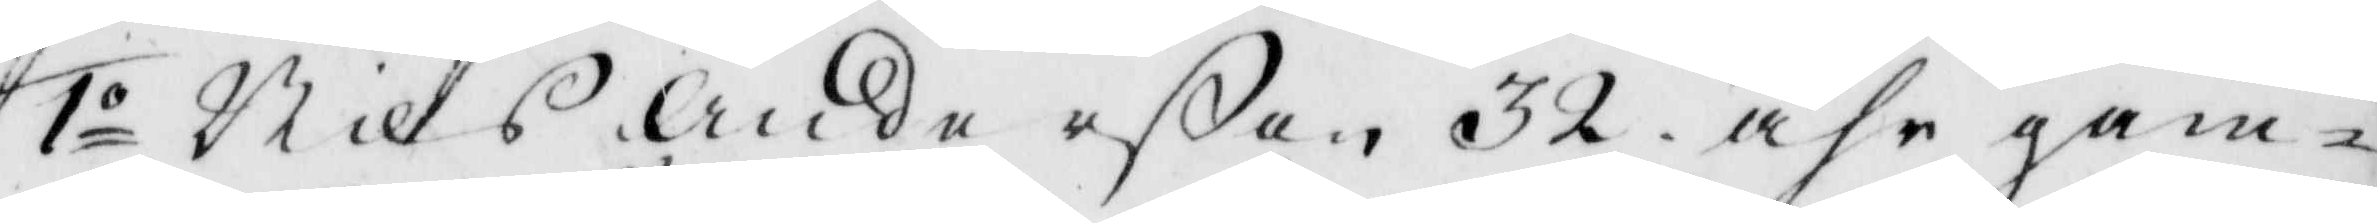1o Nils Andersßon 32 åhr gam¬
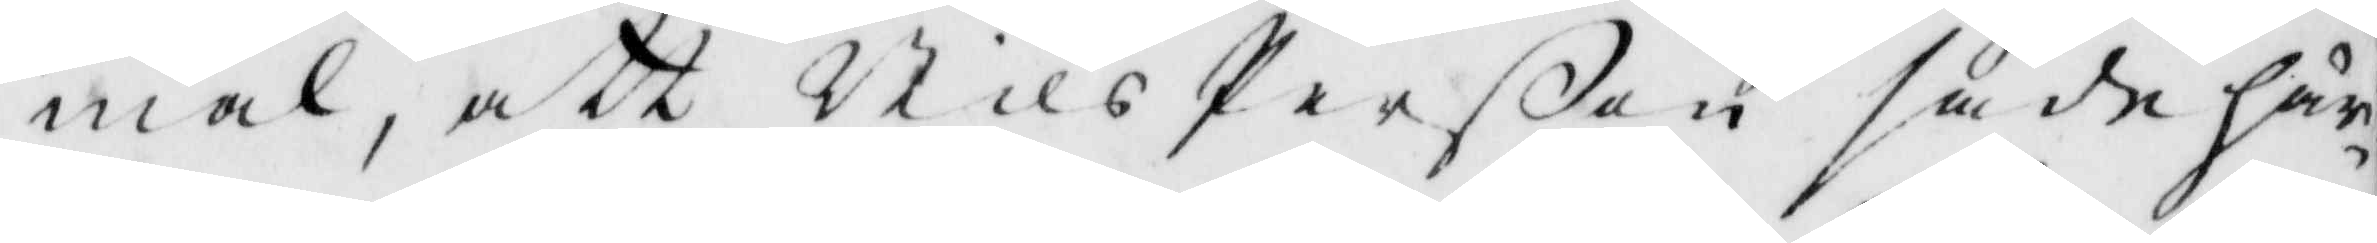mal, att Nils Perßon sade här¬
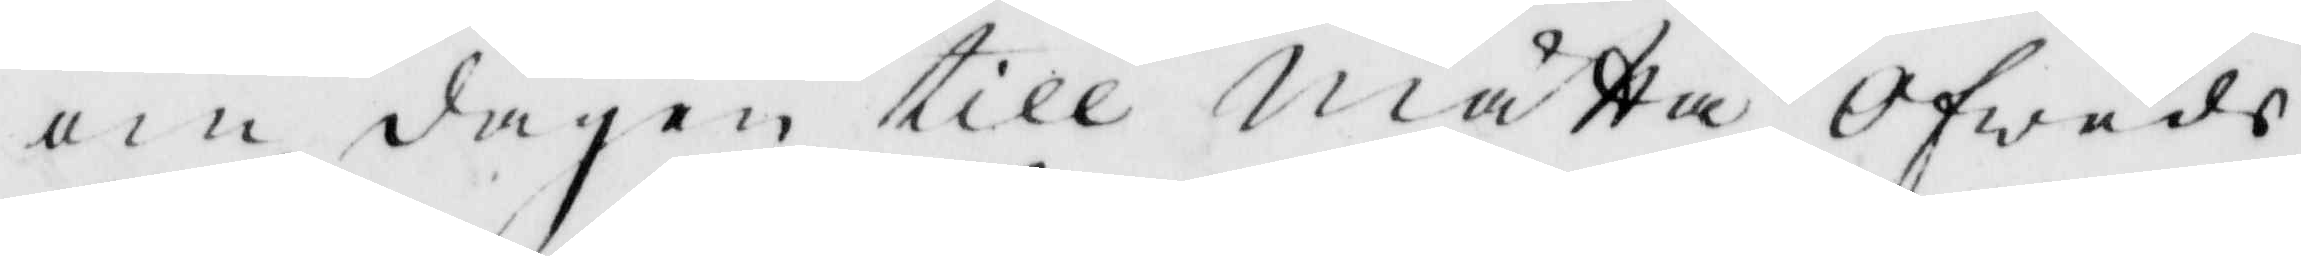om dagen till Mätta Ofweds
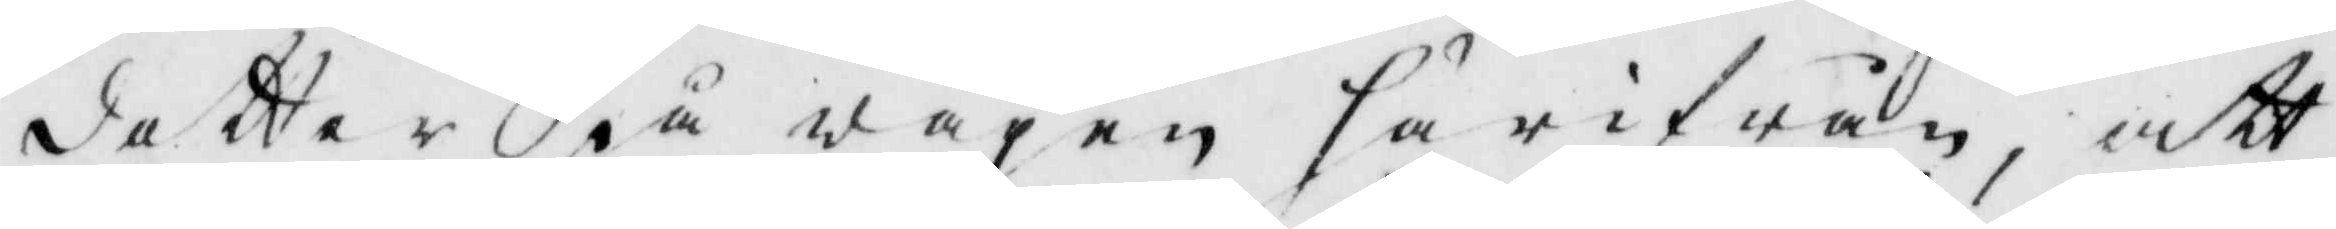dotter på wägen härifrån, att
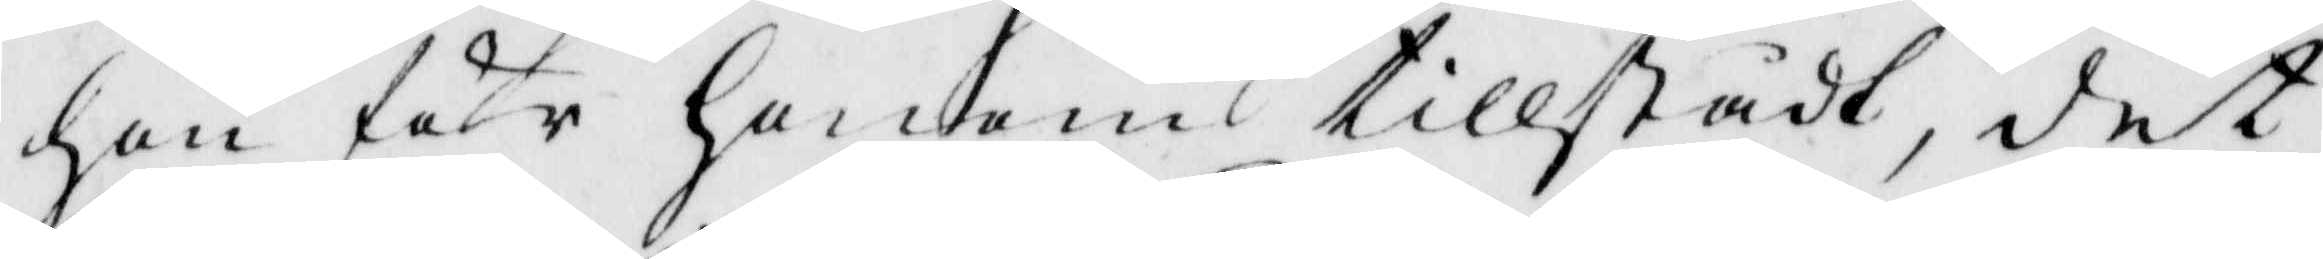hon för honom tillstådt, det
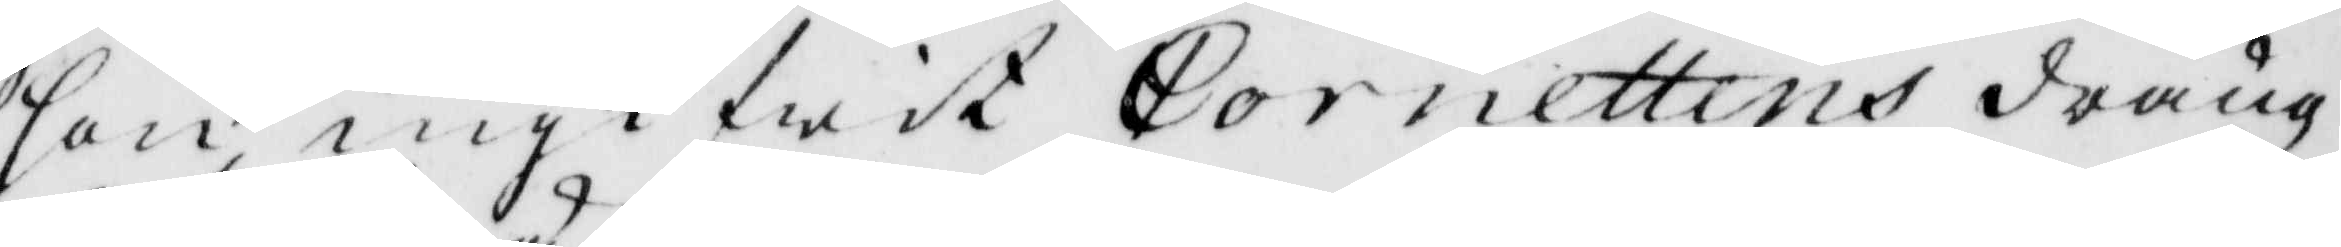hon ingifwit Cornettens fräng
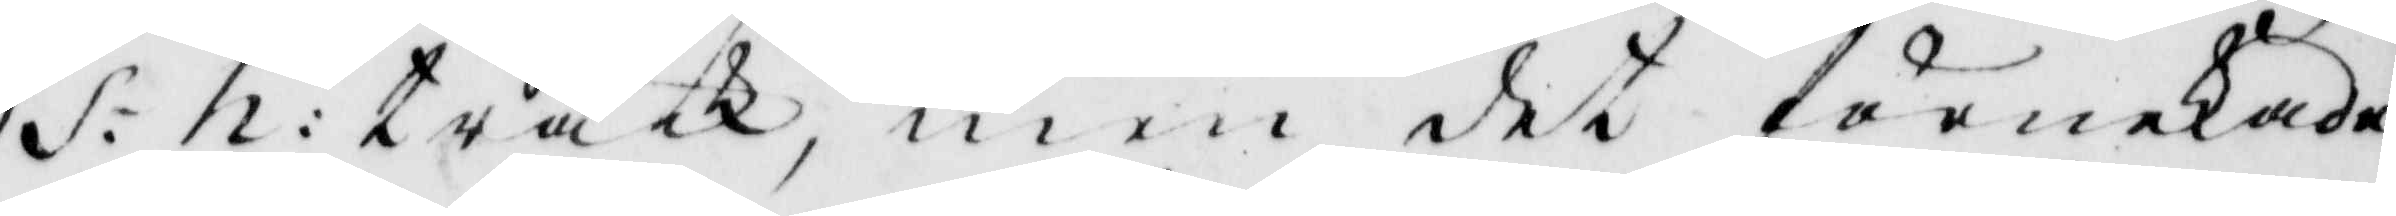S: h: träck, men det förnekade
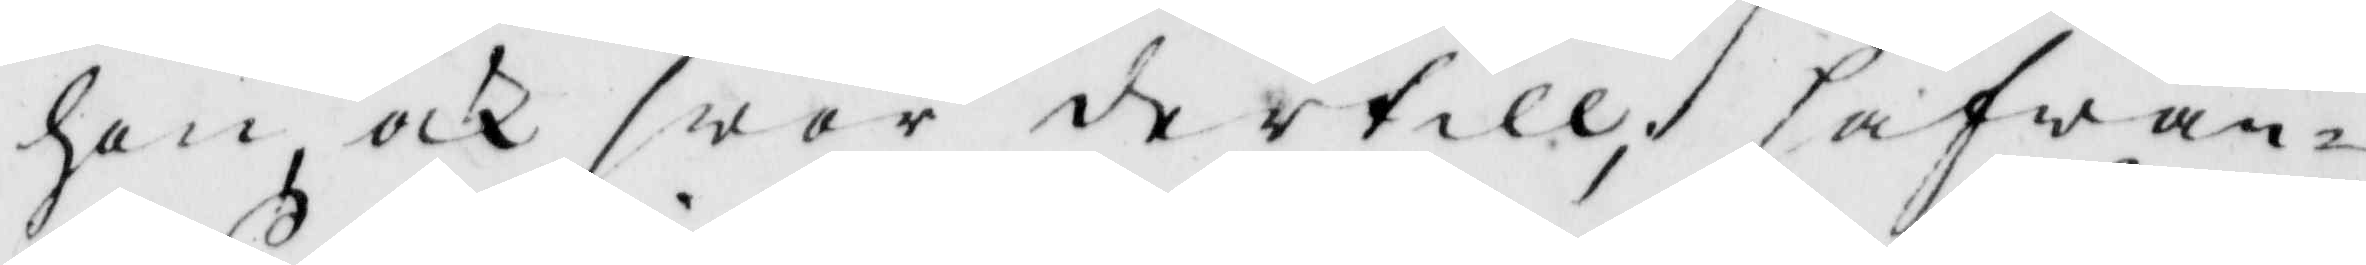hon, ock swar dertill, hafwan¬
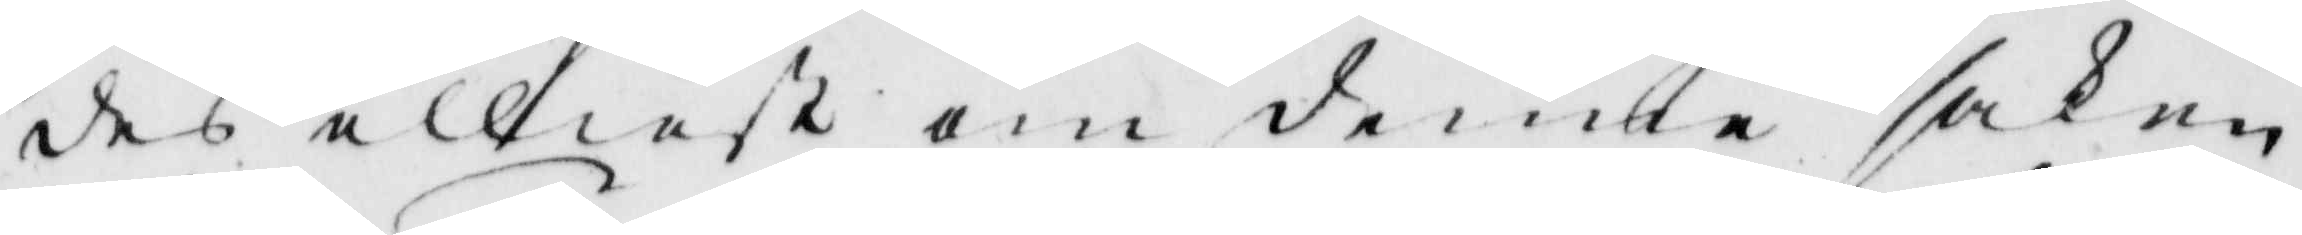des elliest om denna saken
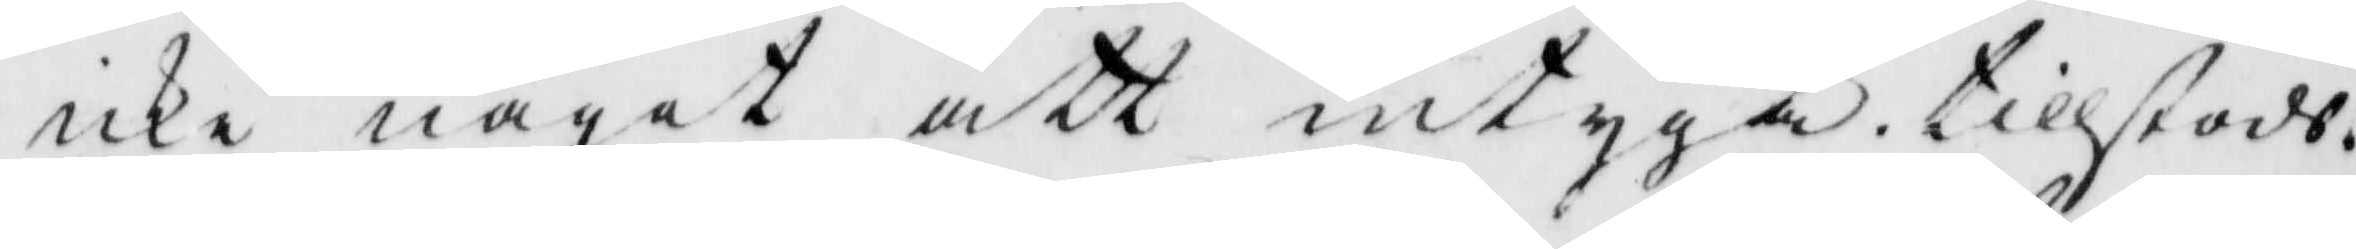icke något att intyga, tillstods.
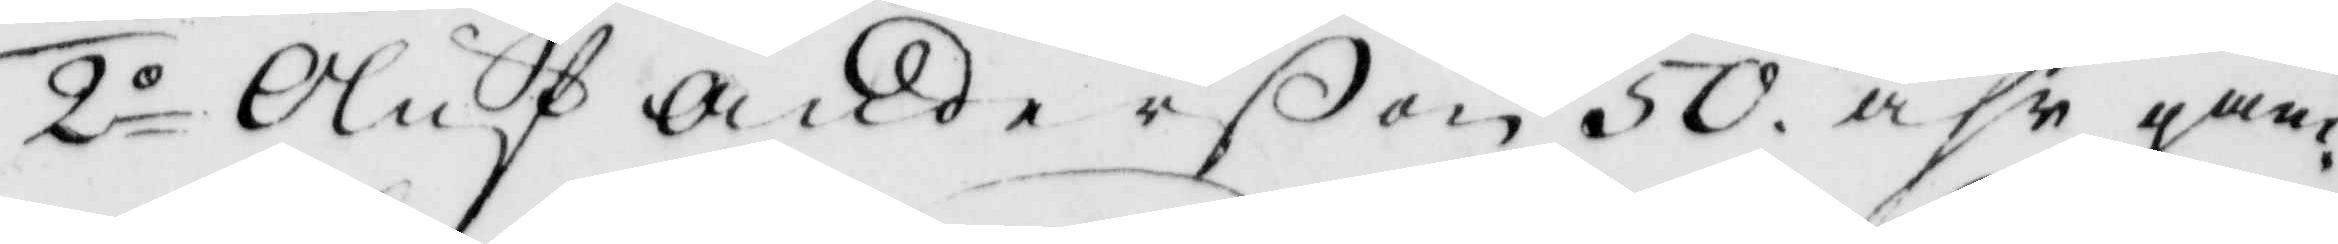2o Oluf Anderßon 50 åhr gam¬
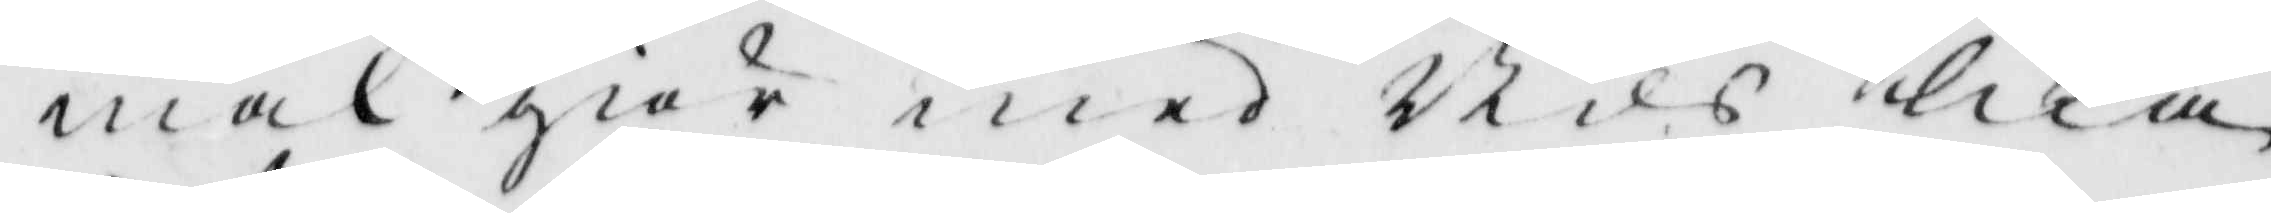mal giör med Nils lika
